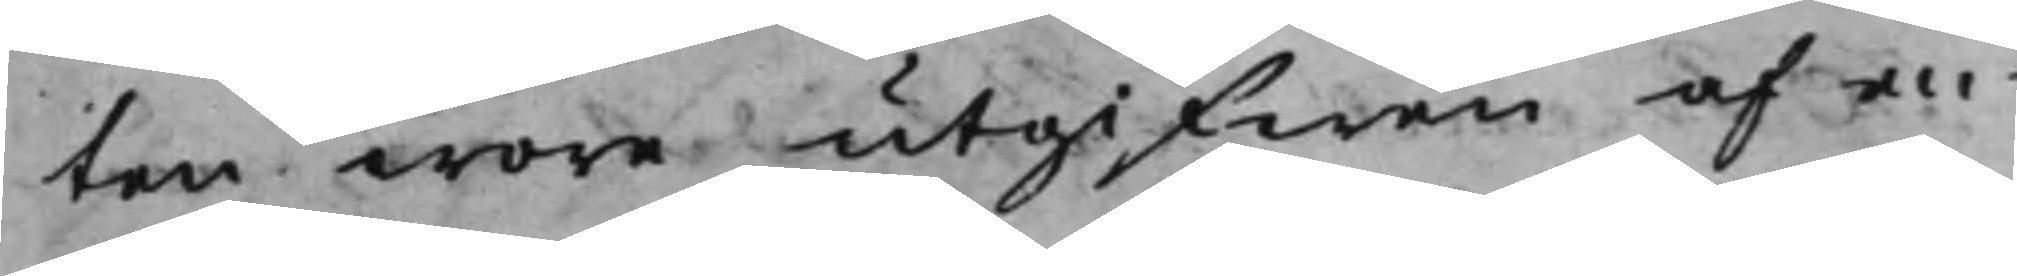ten wore utgifwen af en¬
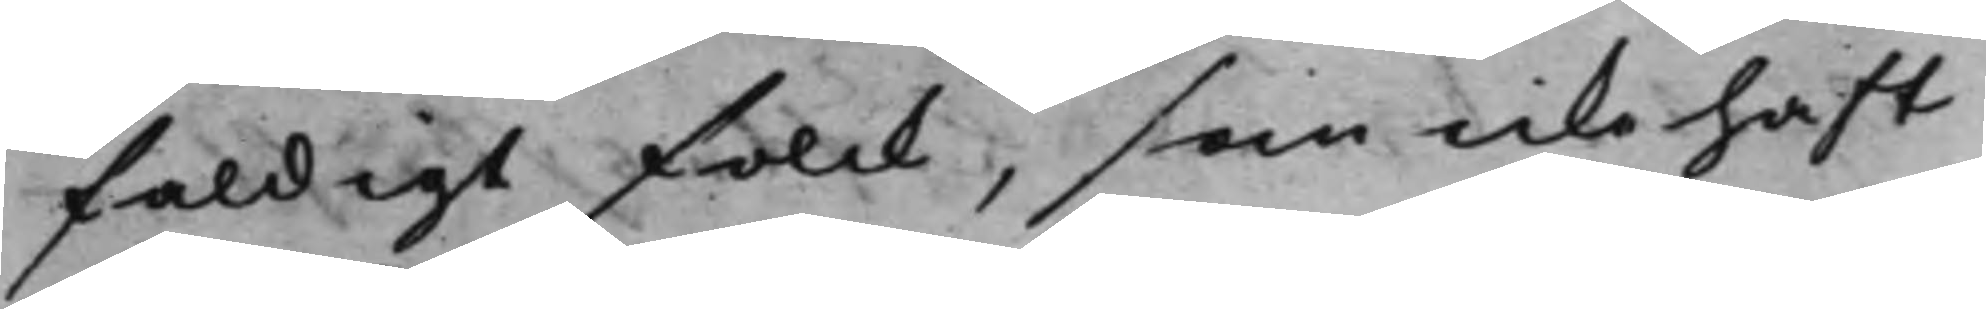faldigt folck, som icke haft
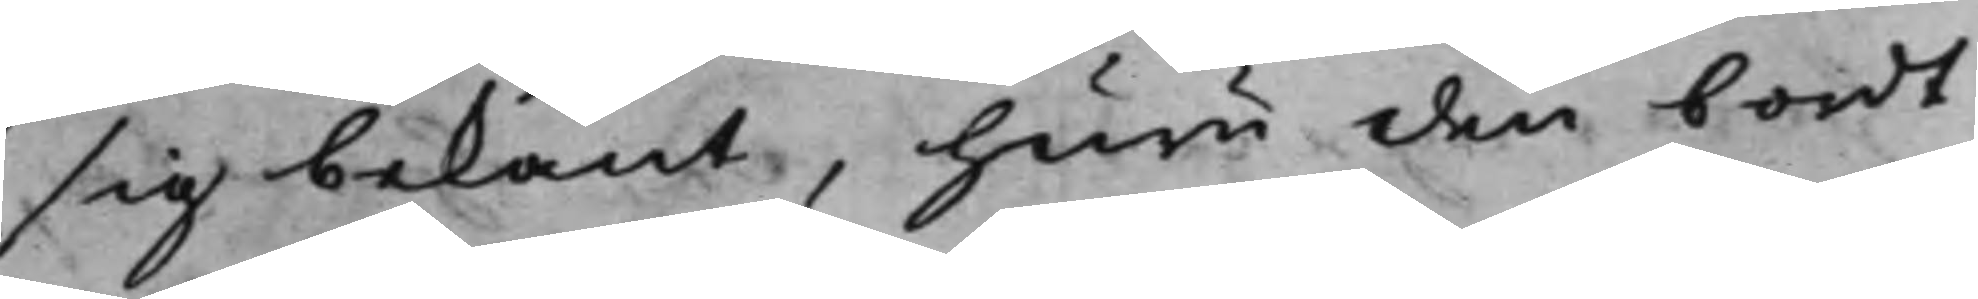sig bekant, huru den bordt
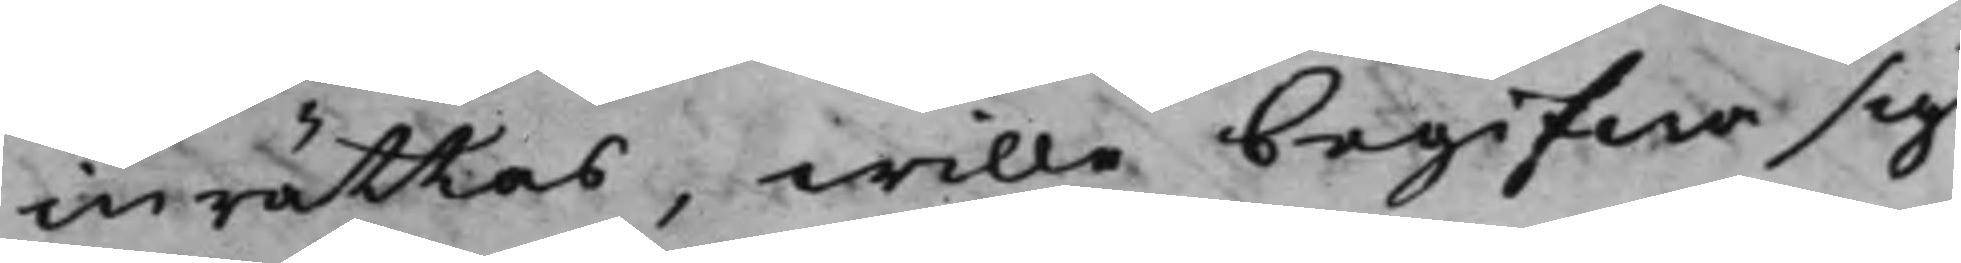inrättas, wille begifwa sig
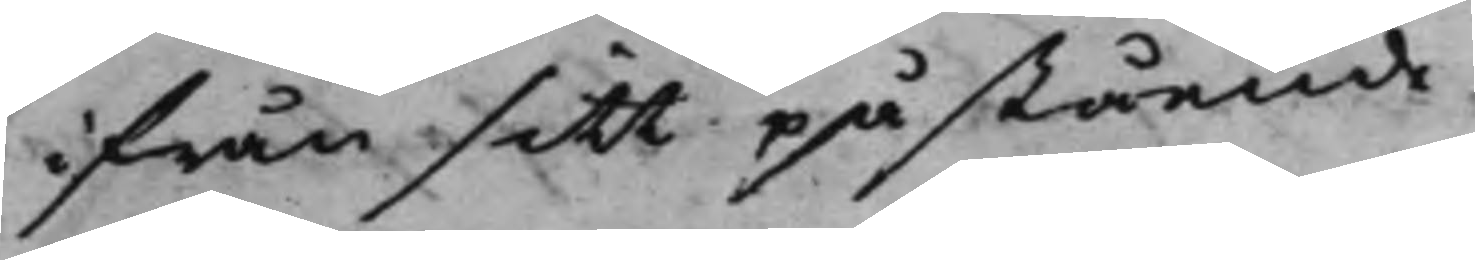ifrån sitt påstående.
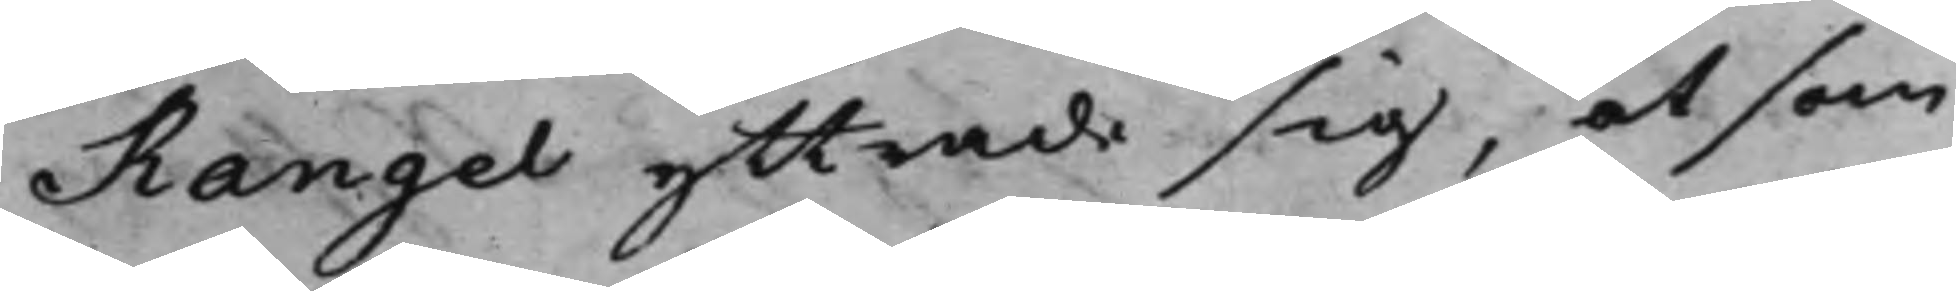Rangel yttrade sig, at som
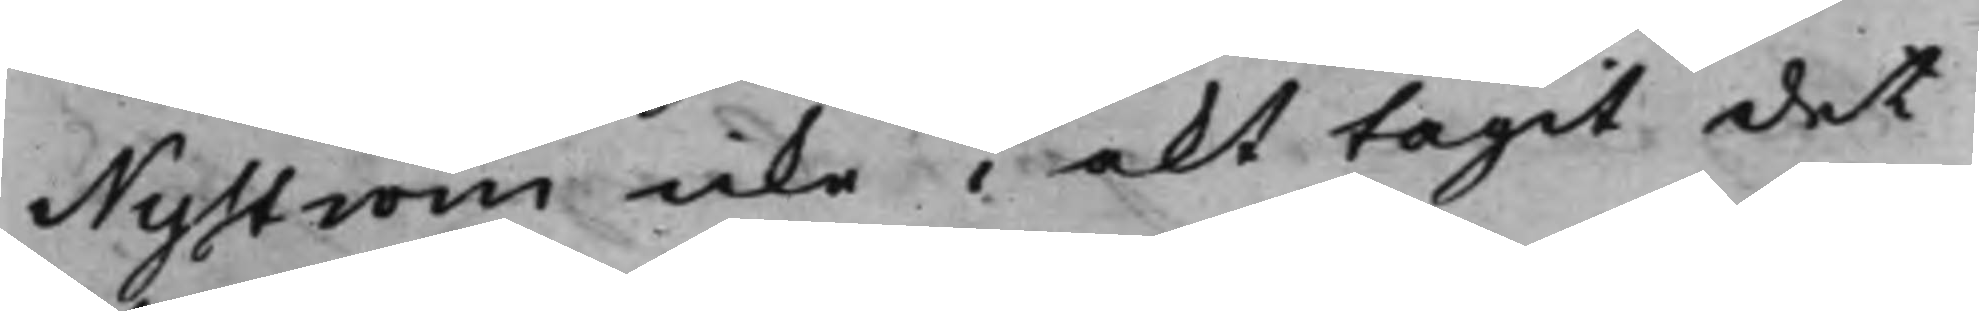Nyström icke i akt tagit det
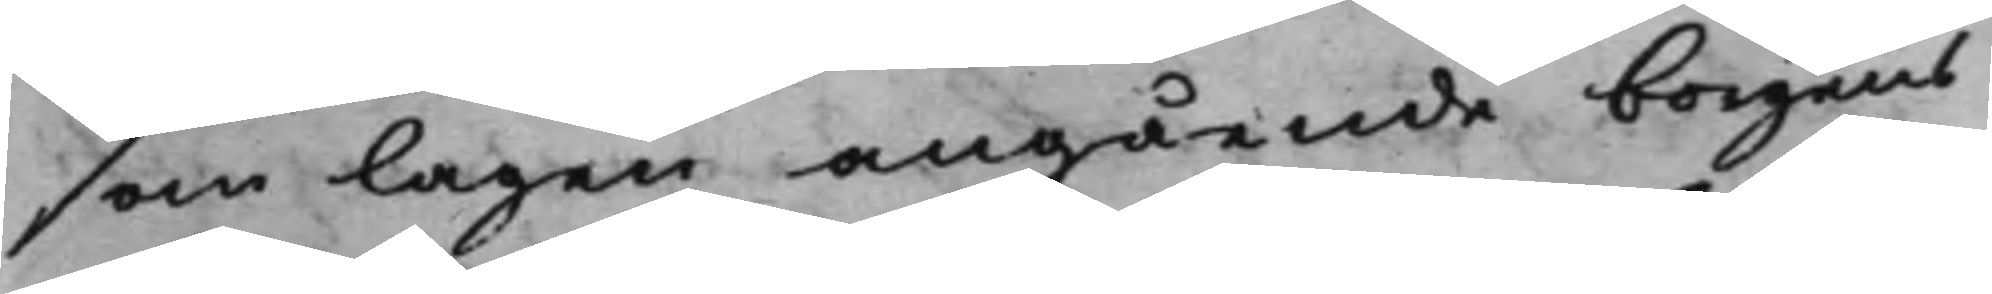som lagen angående borgens
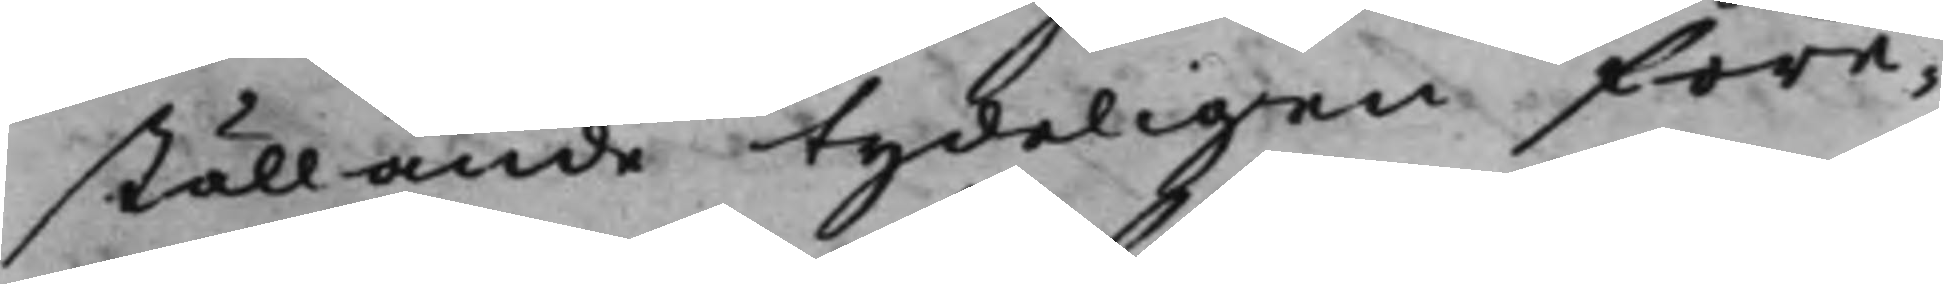ställande tydeligen före¬
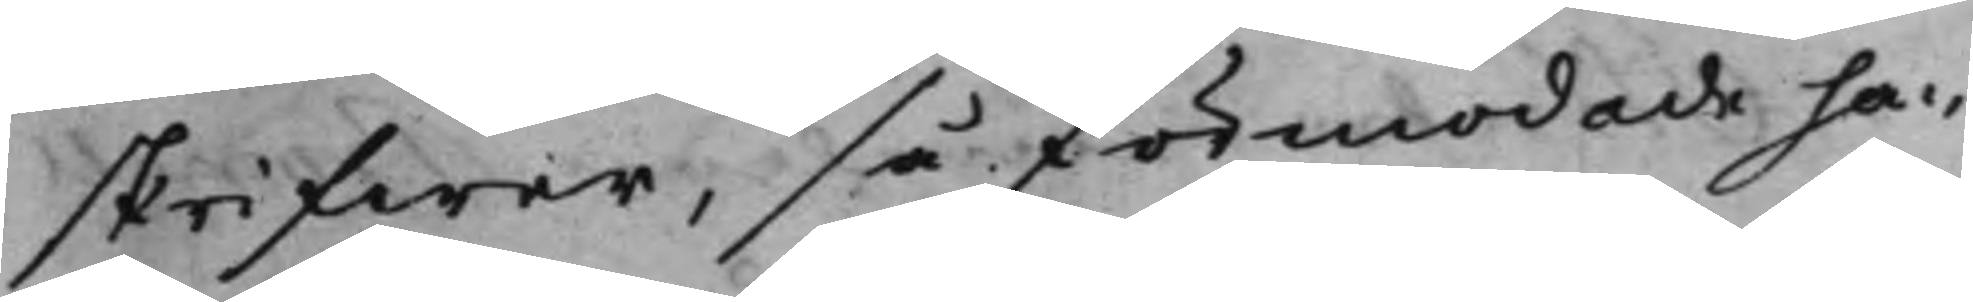skrifwer, så förmodade han
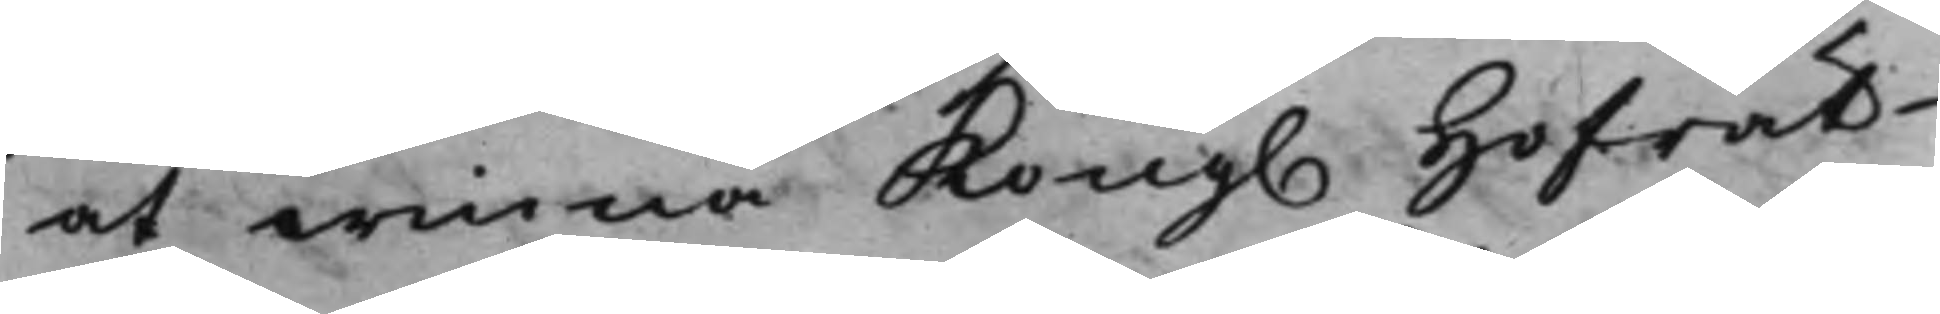at winna Kong. Hofrät¬
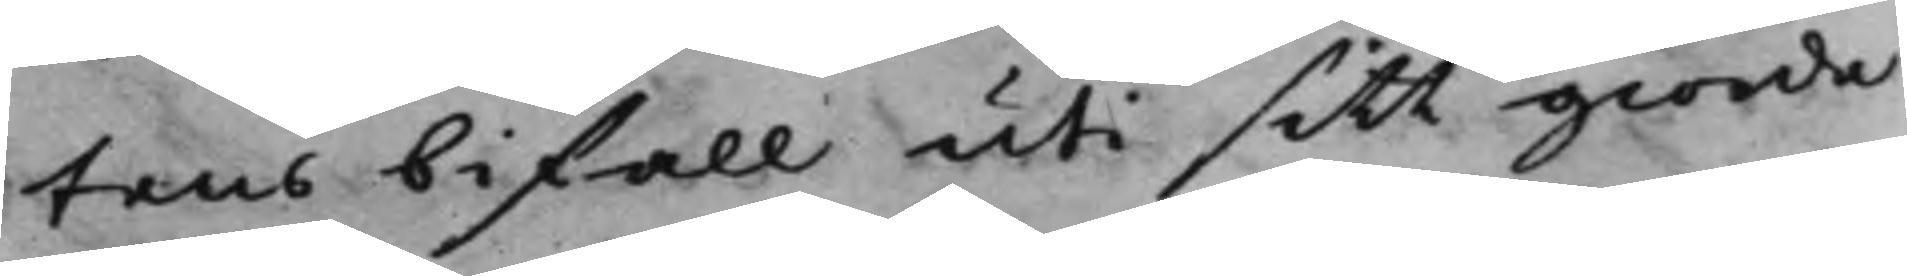tens bifall uti sitt giorde
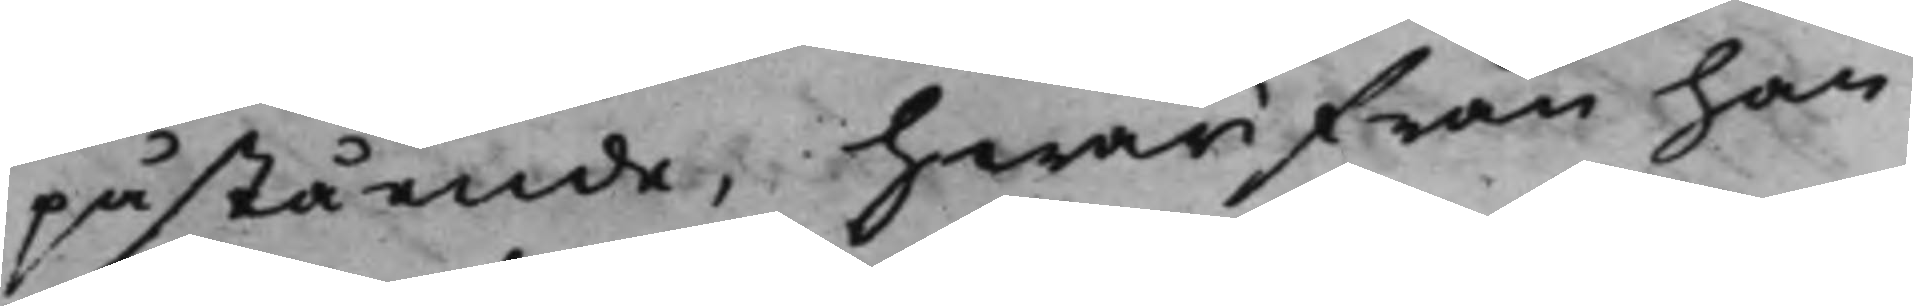påstående, hwarifrån han
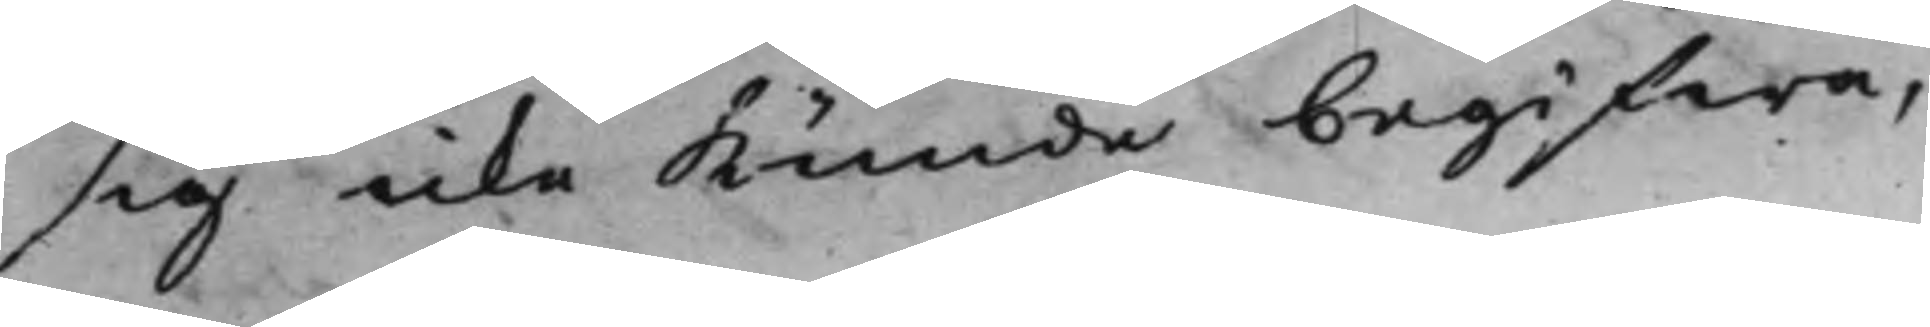sig icke kunde begifwa,
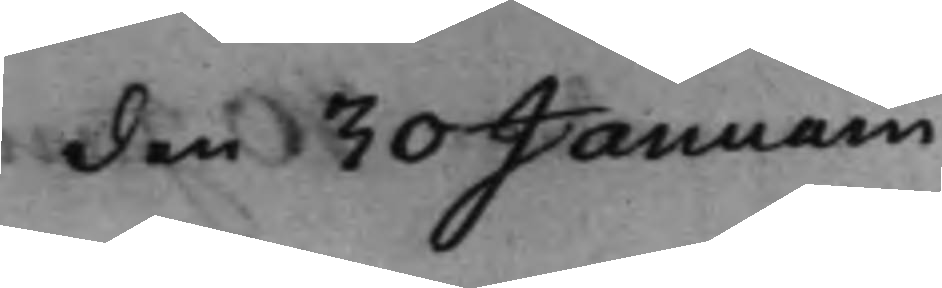den 30 Januarii
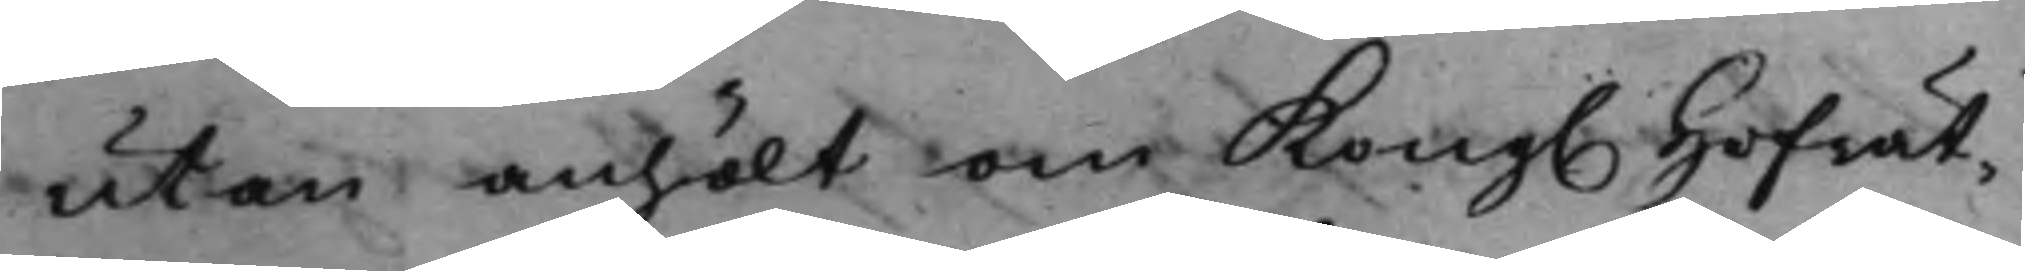utan anhölt om Kong. Hofrät¬
